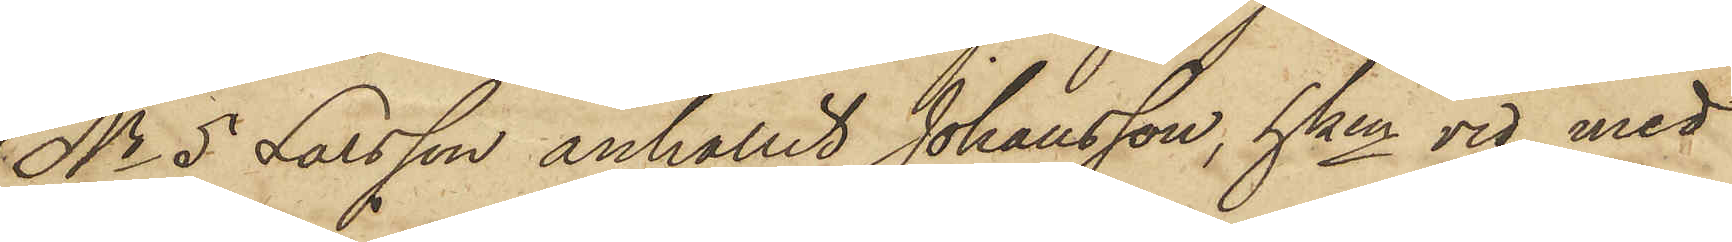No 5 Larsson anhållit Johansson, hken vid med
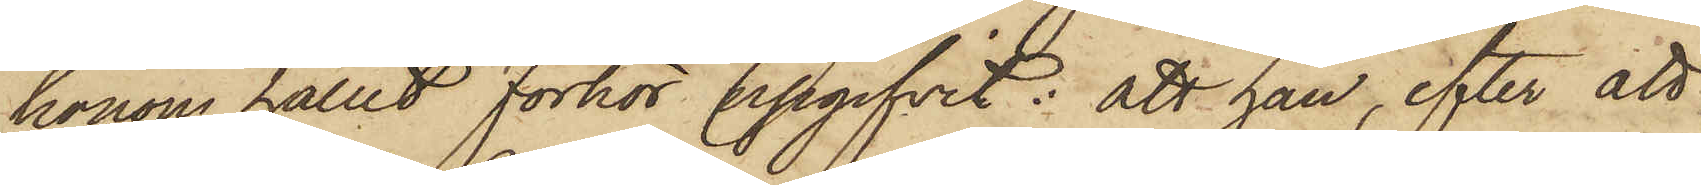honom hållit förhör upgifvit: att han, efter att
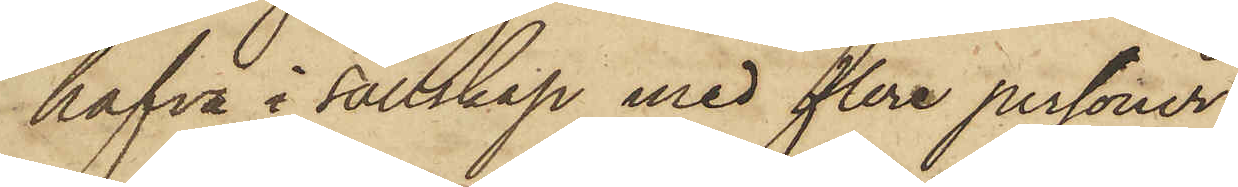hafva i sällskap med flera personer
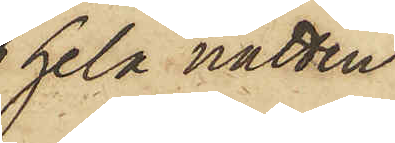hela natten
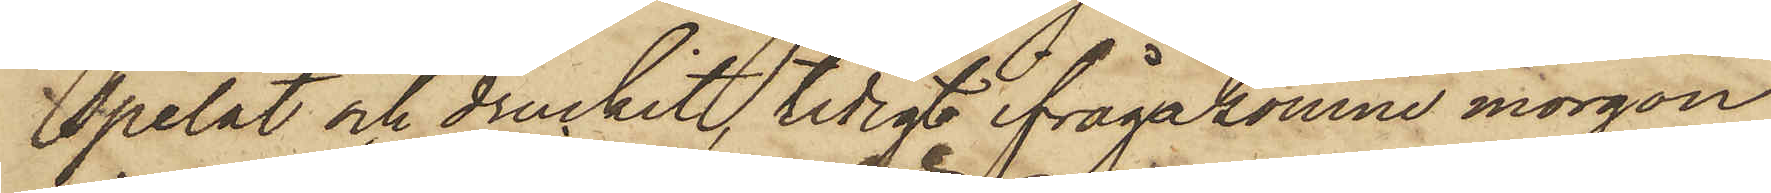spelat och druckit, tidigt ifrågakomne morgon
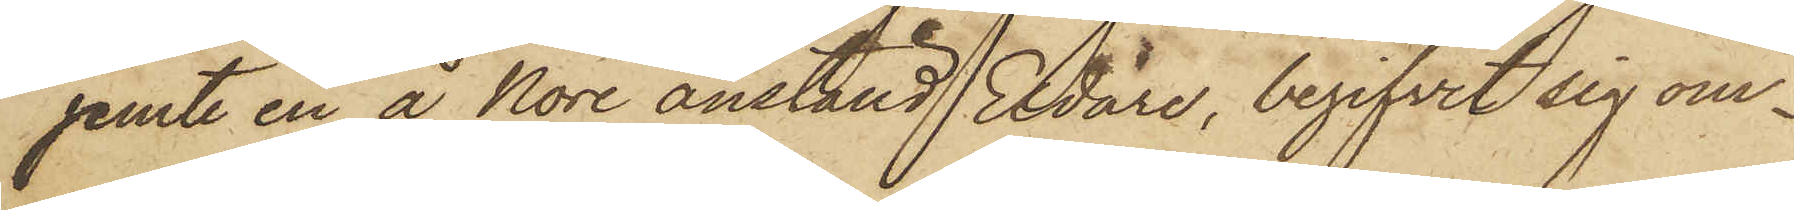jemte en å Nore anställd Eldare, begifvit sig om¬
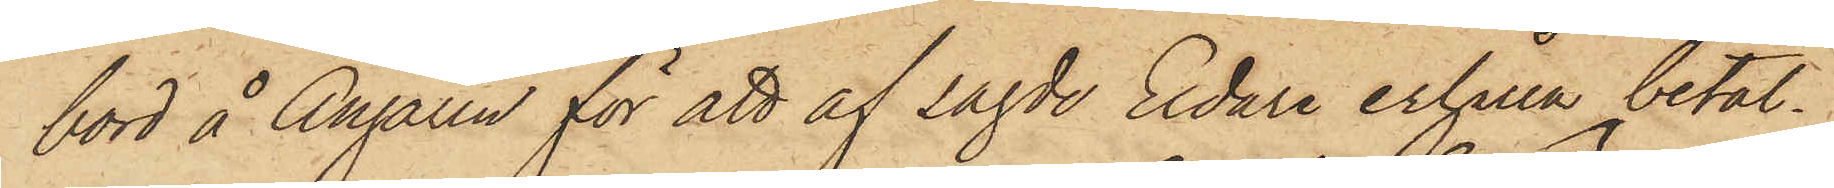bord å Ångaren för att af sagde Eldare erhålla betal¬
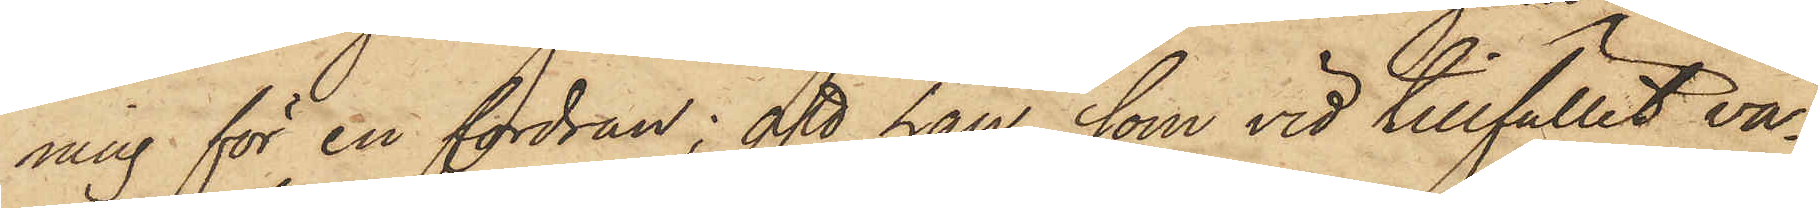ning för en fordran; att han, som vid tillfället va¬
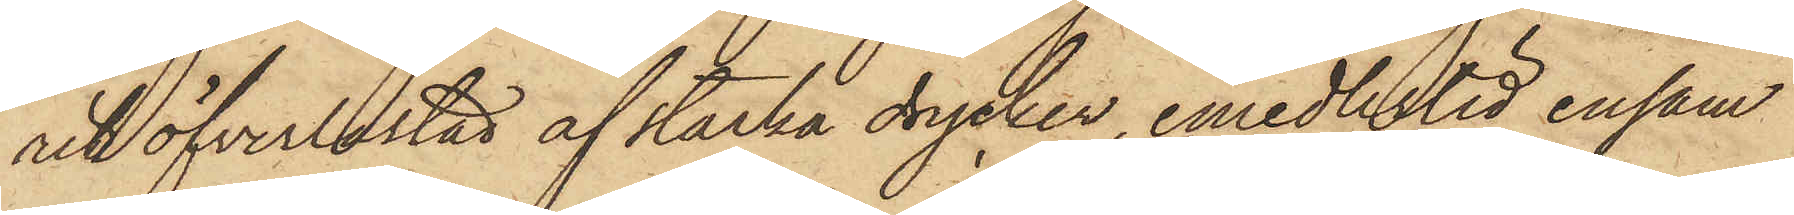rit öfverlastad af starka drycker, emedlertid ensam
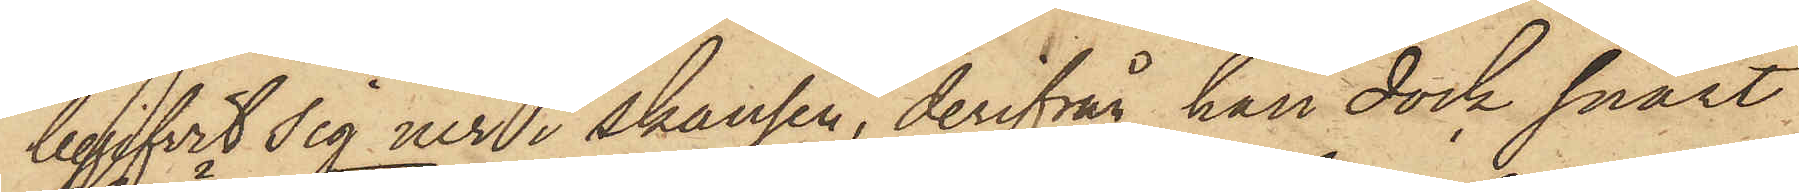begifvit sig ner i skansen, derifrån han dock snart
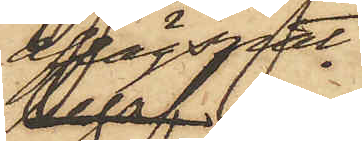aflägsnat
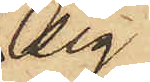sig
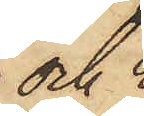och 
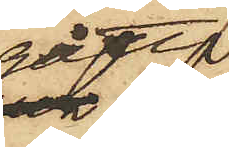gått
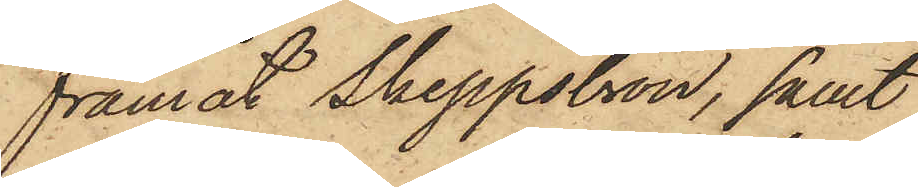framåt Skeppsbron, samt
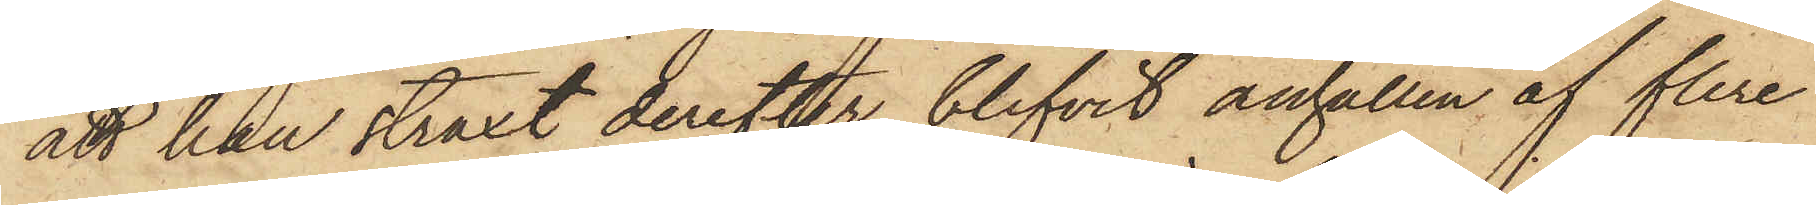att han straxt derefter blifvit anhållen af flere
